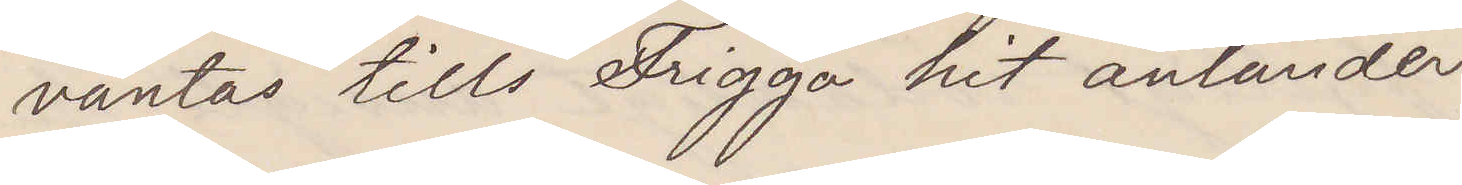väntas till Frigga hit anländer
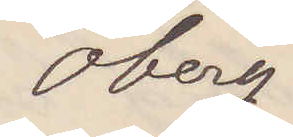Öberg
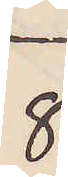8
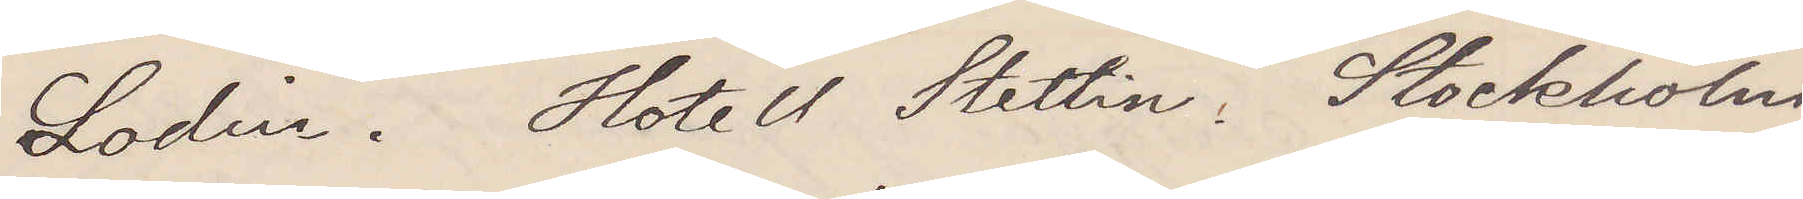Lodin. Hotell Stettin. Stockholm
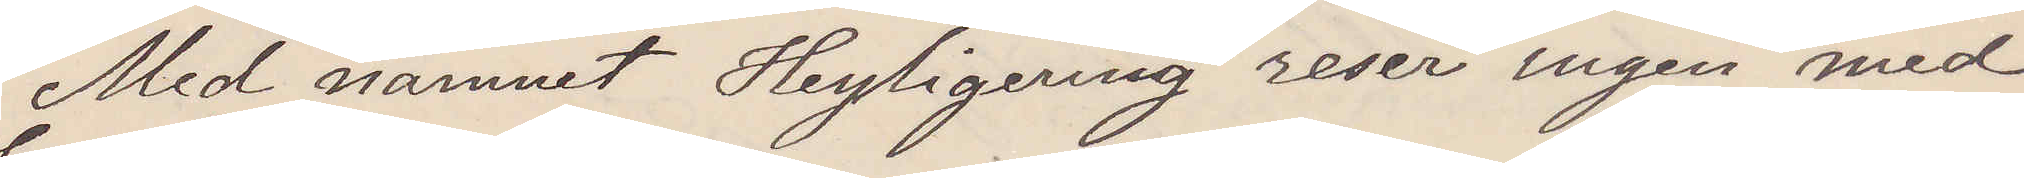Med namnet Heyligering reser ingen med
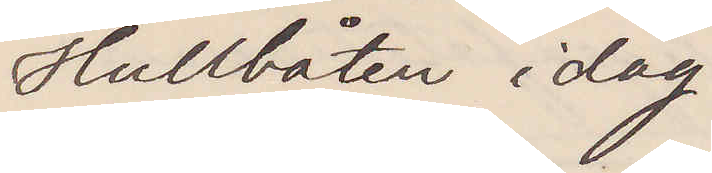Hullbåten idag
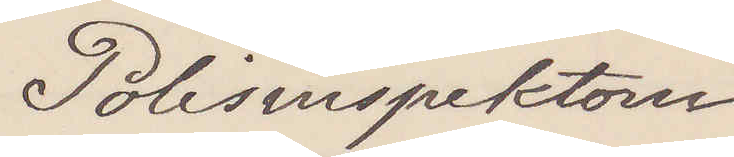Polisinspektorn
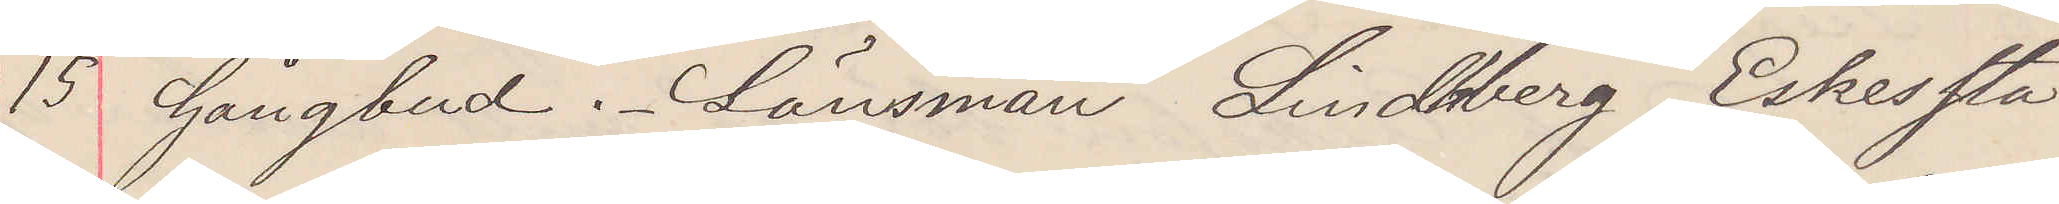15 Gånghud. Länsman Lindberg Eskessta
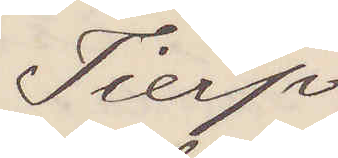Tierp
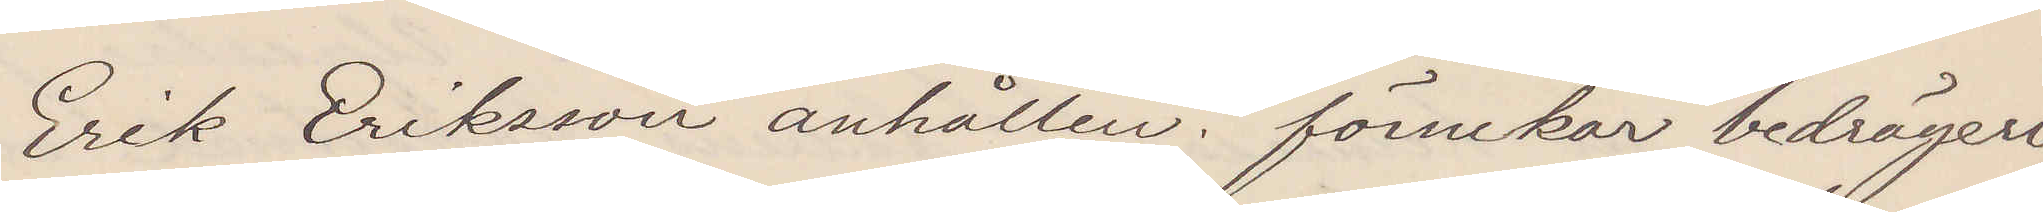Erik Eriksson anhållen; förnekar bedrägeri;
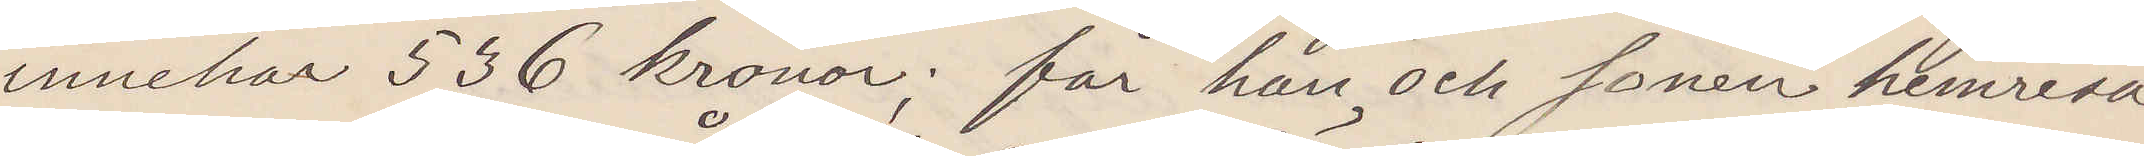innehar 536 kronor; får han och sonen hemresa
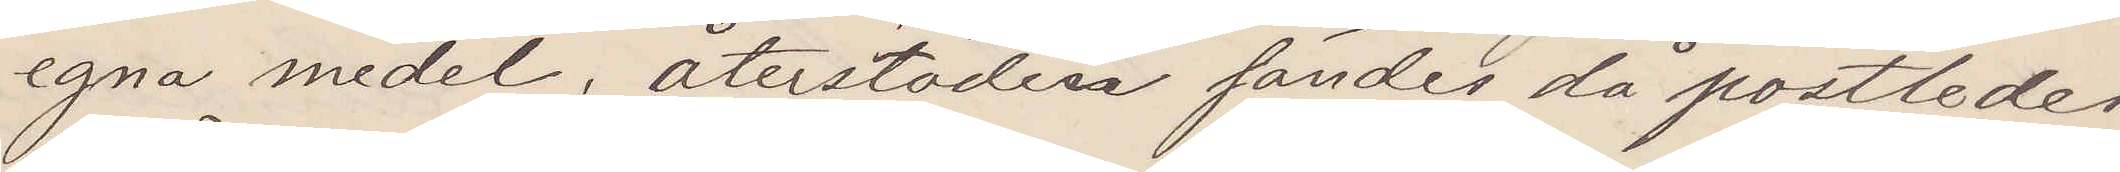egna medel; återstoden sändes då postledes.
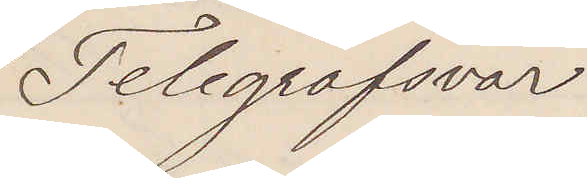Telegrafsvar
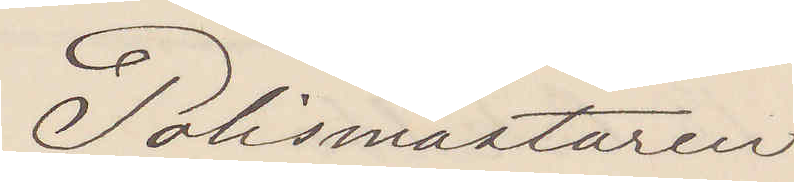Polismästaren
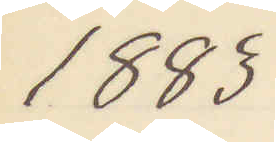1883
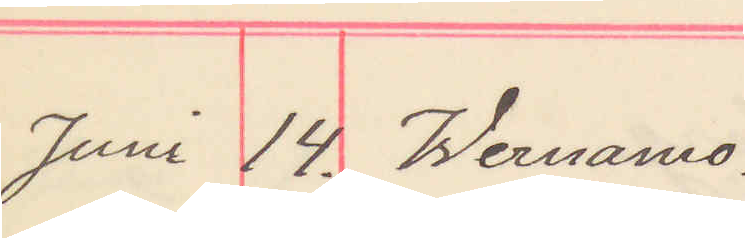Juni 14. Wernamo
